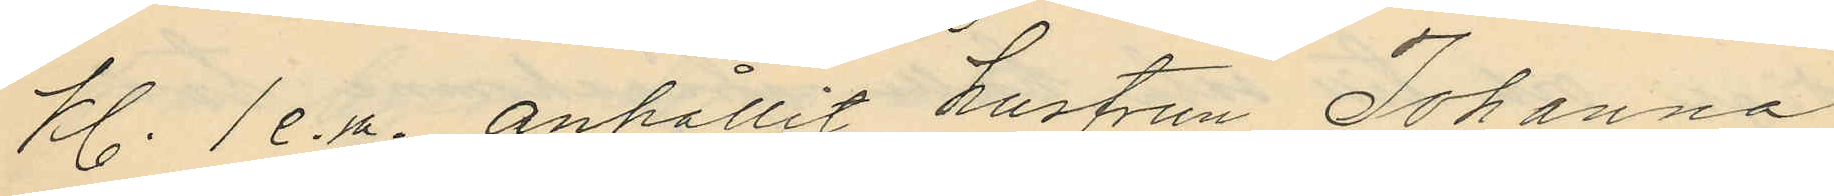Kl. 1 e.m. anhållit hustrun Johanna
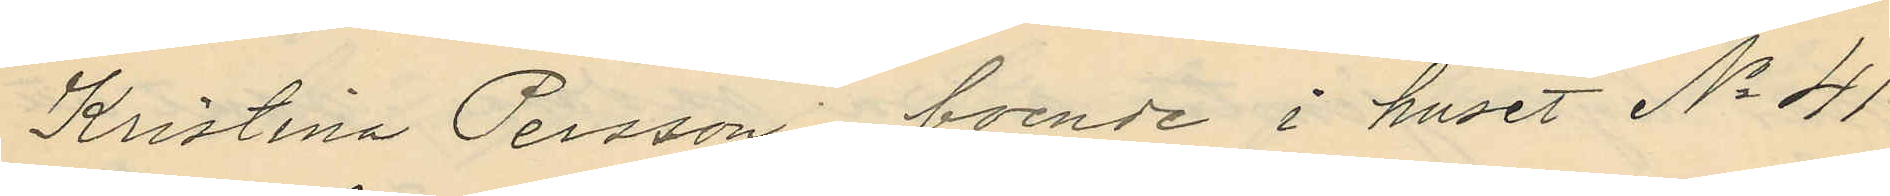Kristina Persson, boende i huset No 41
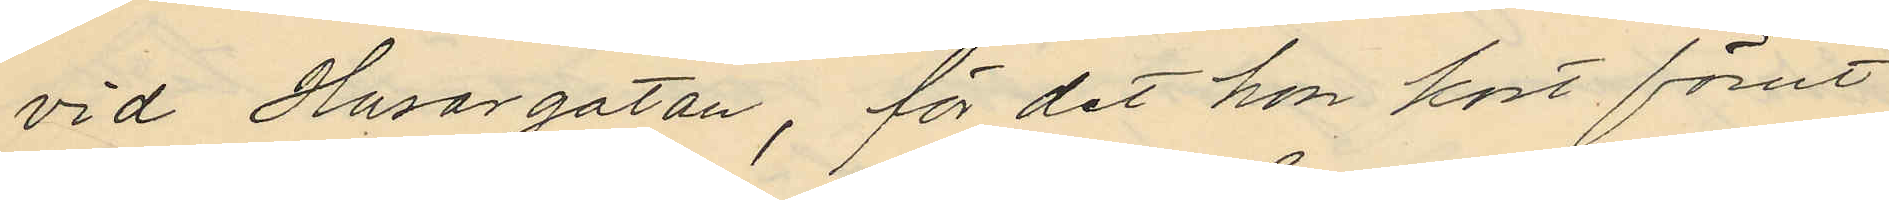vid Husargatan, för det hon kort förut
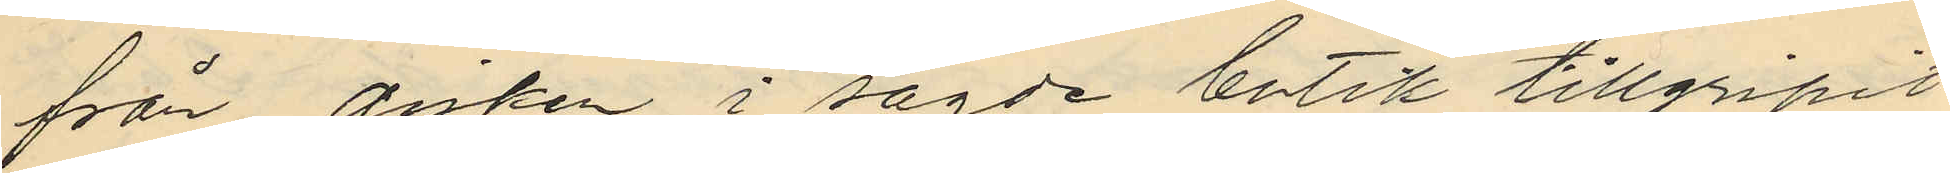från disken i sagde butik tillgripit
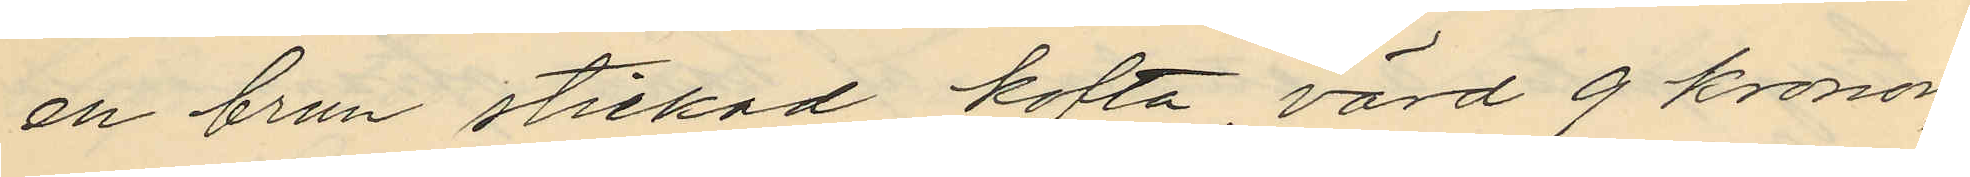en brun stickad kofta, värd 9 kronor,
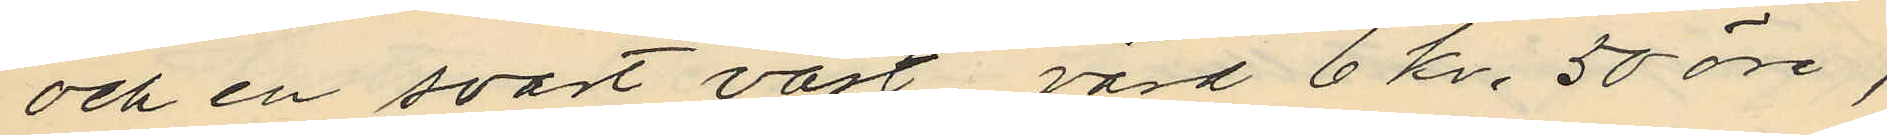och en svart väst värd 6 kr. 50 öre,
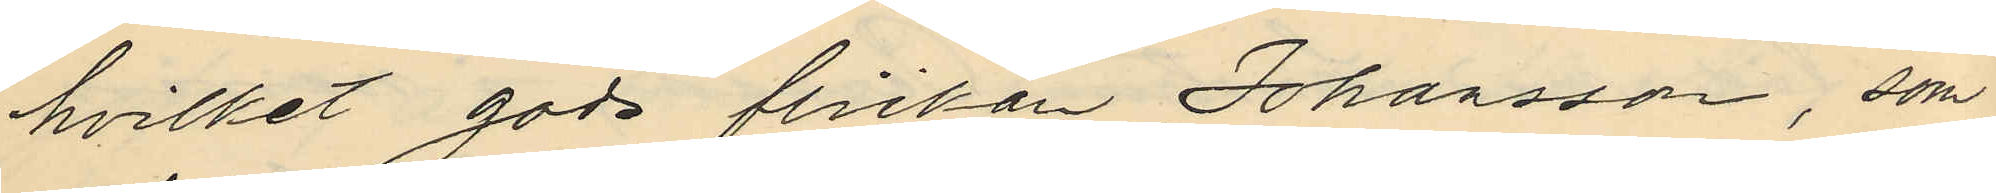hvilket gods flickan Johansson, som
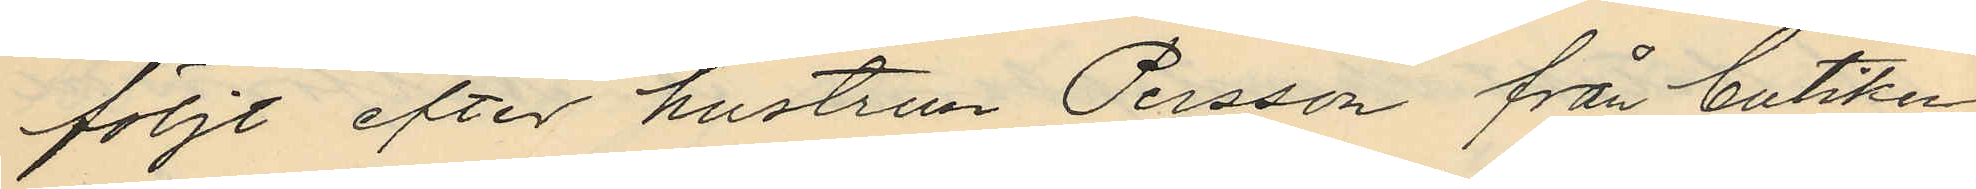följt efter hustrun Persson från butiken
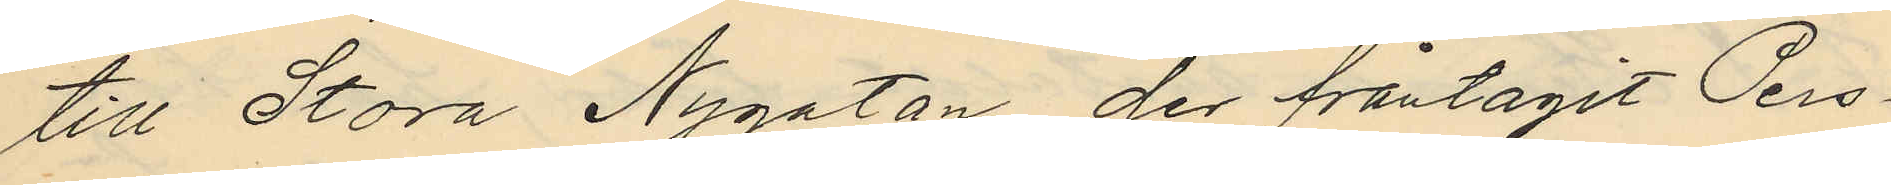till Stora Nygatan, der fråntagit Pers¬
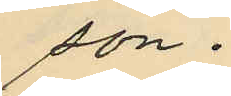son.
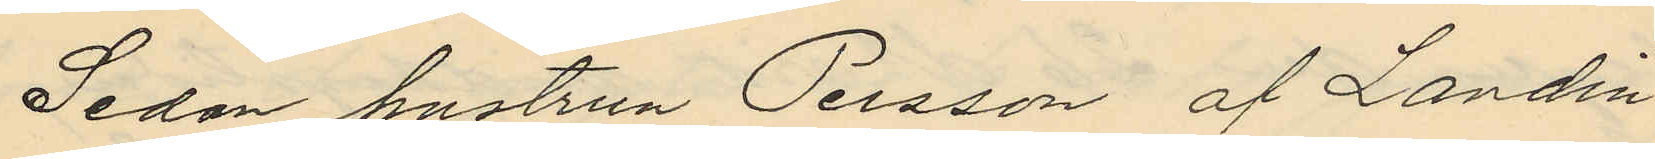Sedan hustrun Persson af Landin
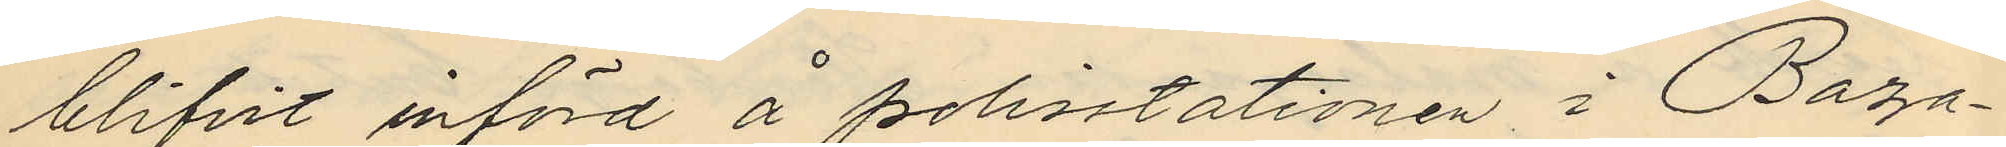blifvit införd å polisstationen i Baza¬
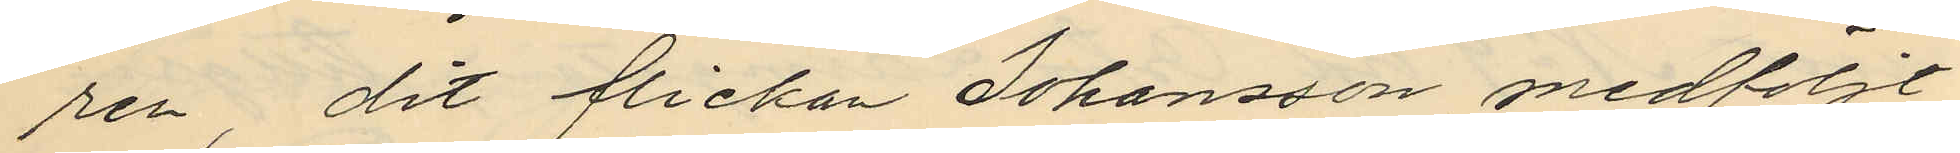ren, dit flickan Johansson medföljt,
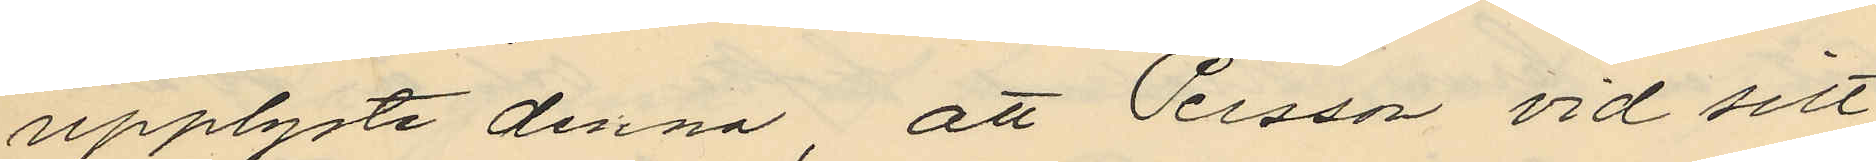upplyste denna, att Persson vid sitt
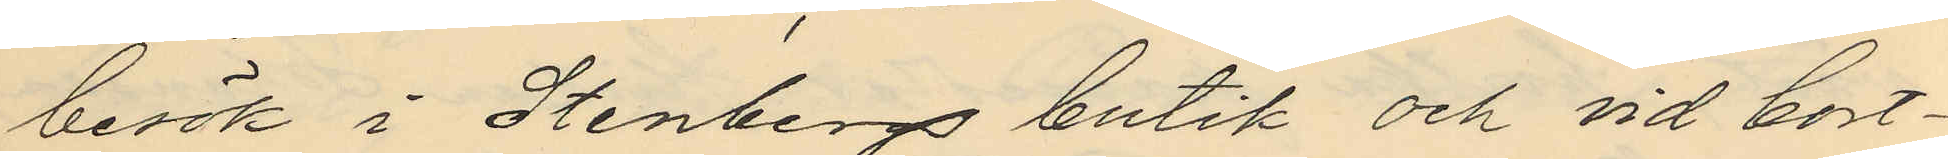besök i Stenbergs butik och vid bort¬
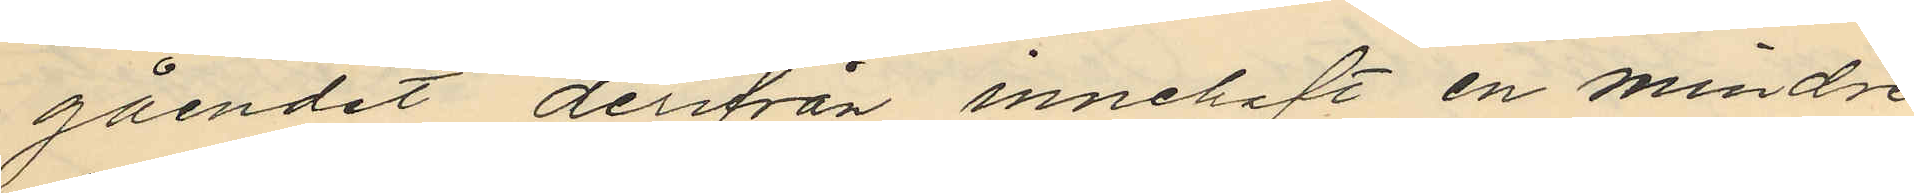gåendet derifrån innehaft en mindre
